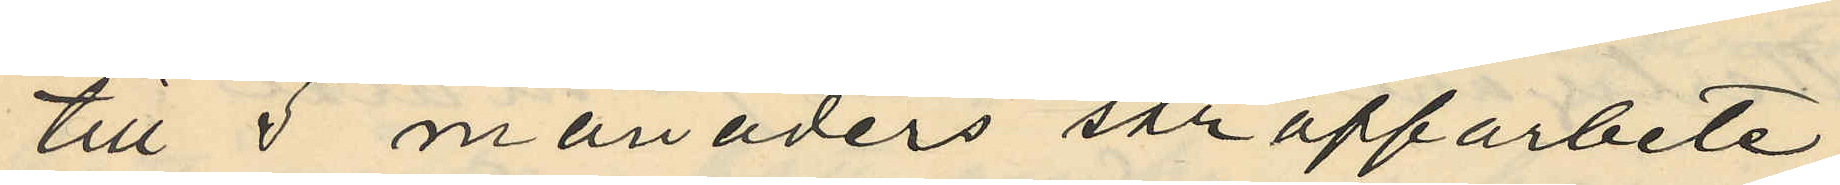till 5 månaders straffarbete;
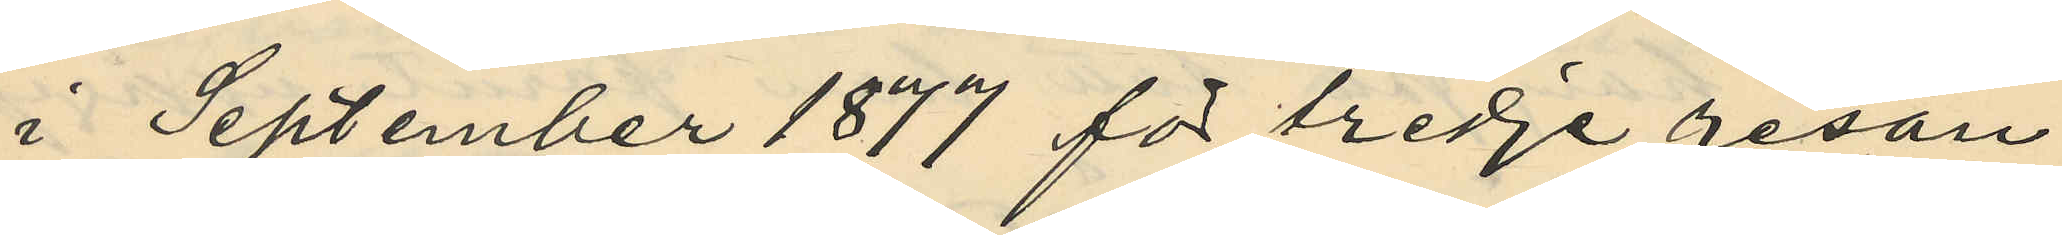i September 1877 för tredje resan
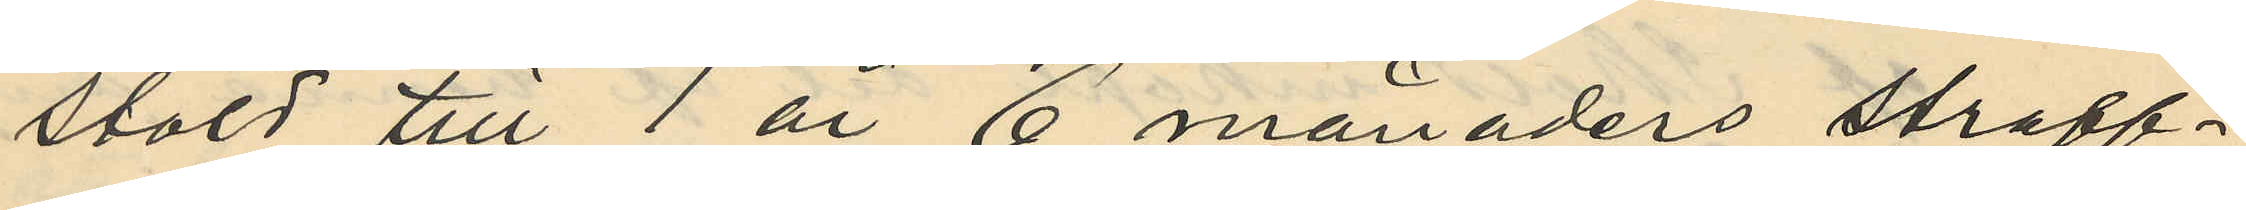stöld till 1 år 6 månaders straff¬
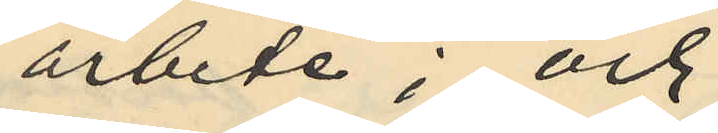arbete; och
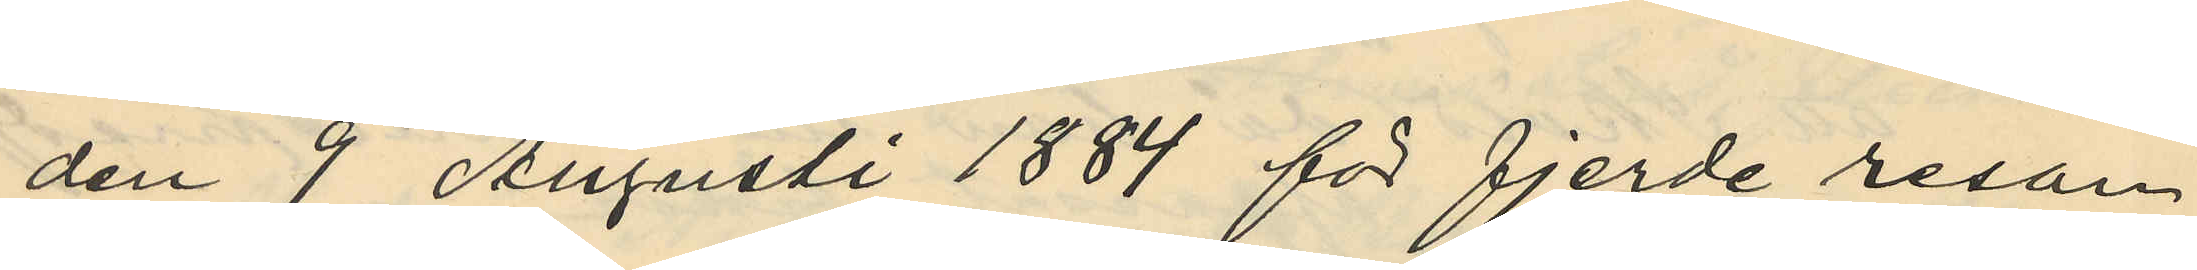den 9 Augusti 1884 för fjerde resan
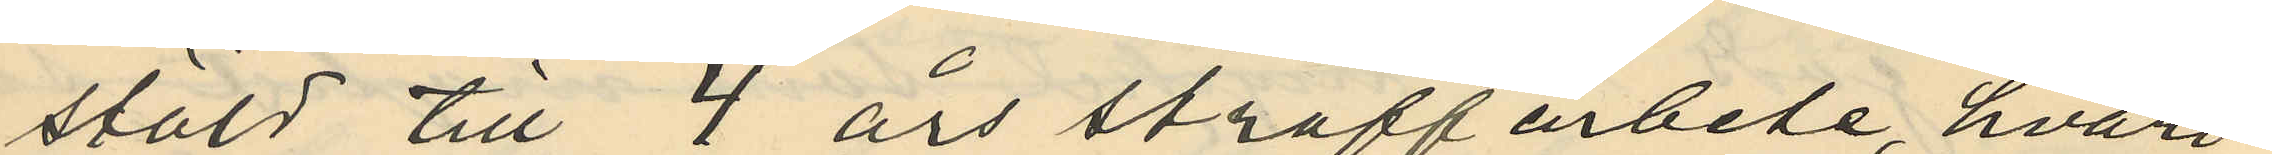stöld till 4 års straffarbete, hvari¬
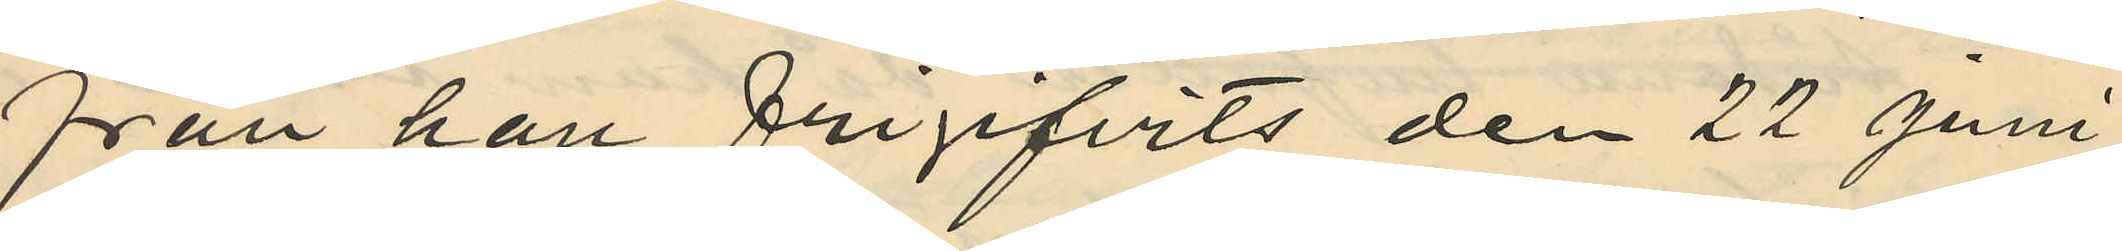från han frigifvits den 22 Juni
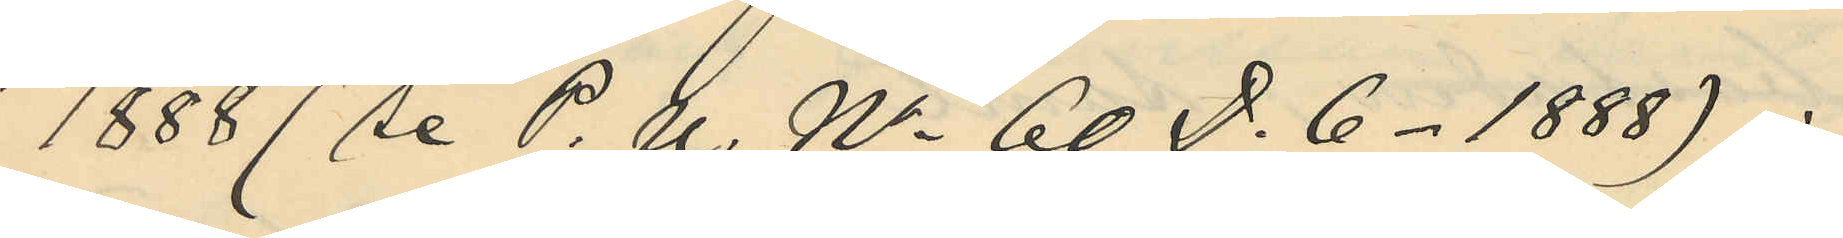1888 (Se P. U. No 60 R. 6_ 1888);
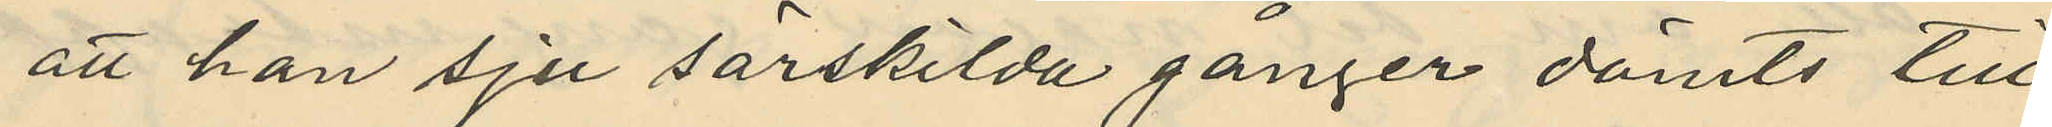att han sju särskilda gånger dömts till
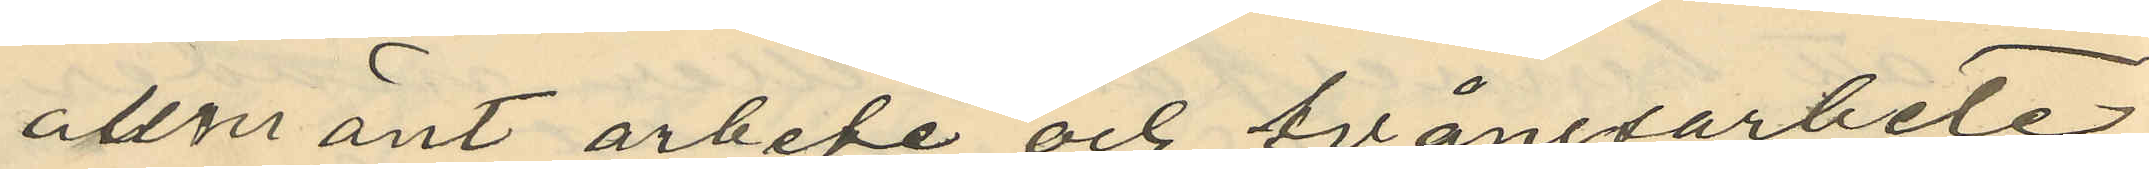allmänt arbete och tvångsarbete
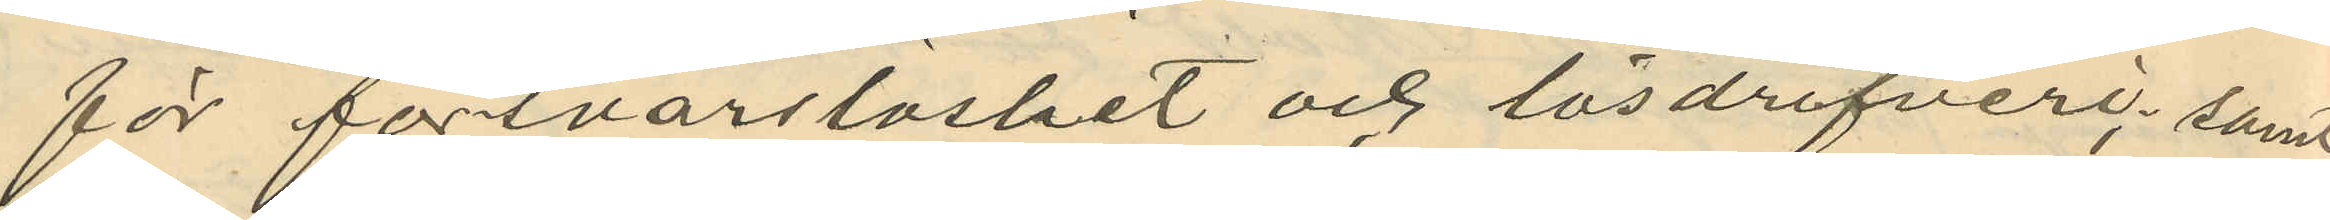för försvarslöshet och lösdrifveri; samt
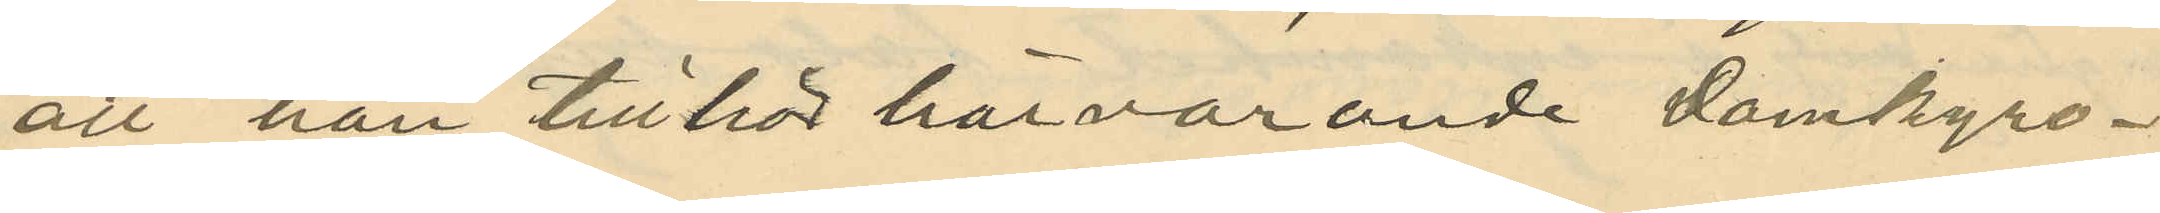att han tillhör härvarande Domkyro¬
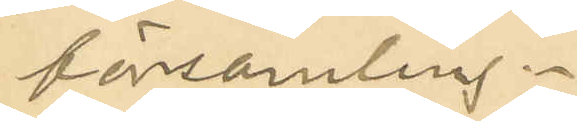församling.
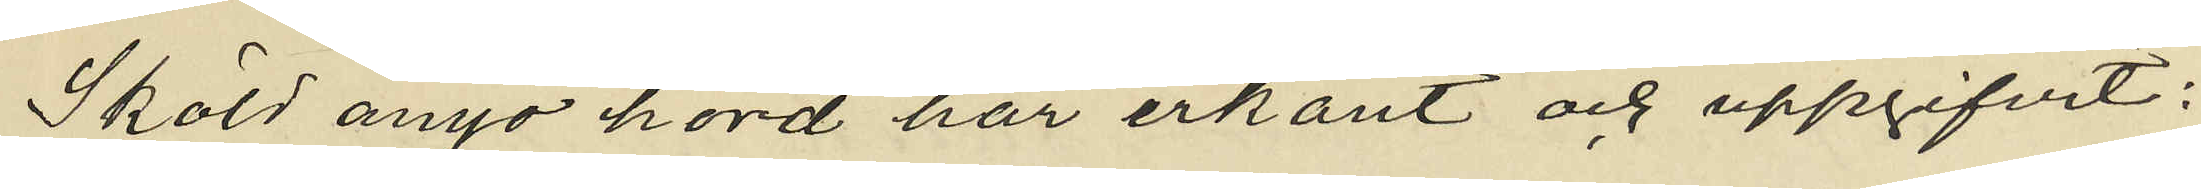Sköld ånyo hörd har erkänt och uppgifvit:
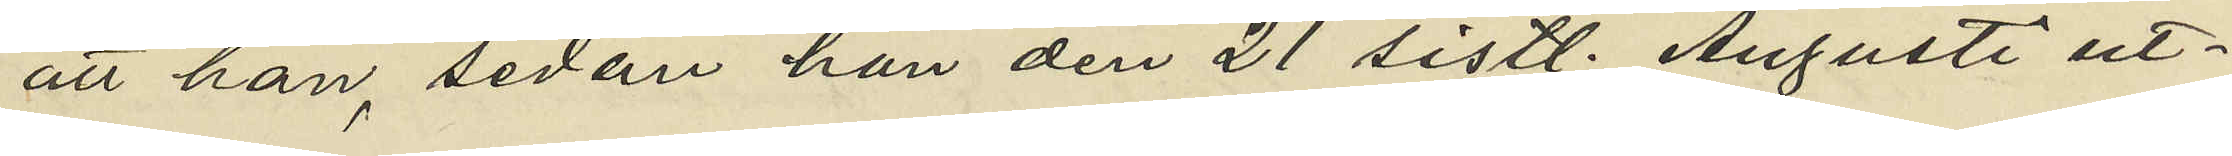att han, sedan han den 21 sistl. Augusti ut¬
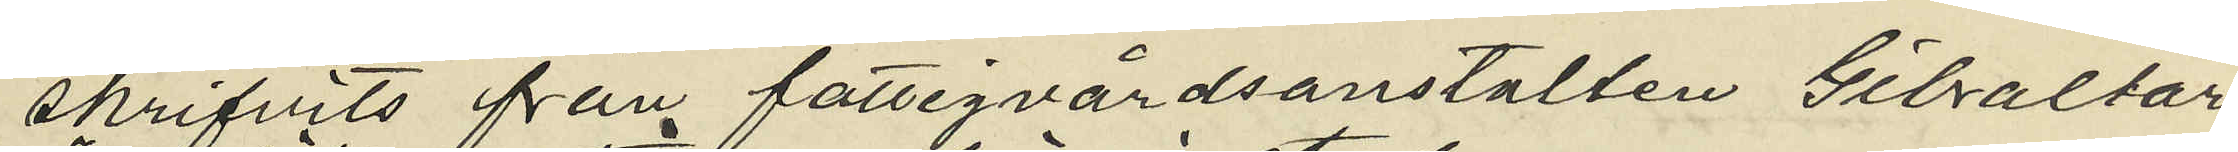skrifvits från fattegvårdsanstallen Gibraltar
